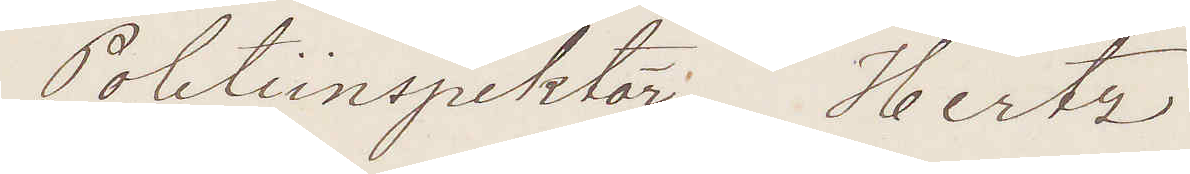Politiinspektör Hertz
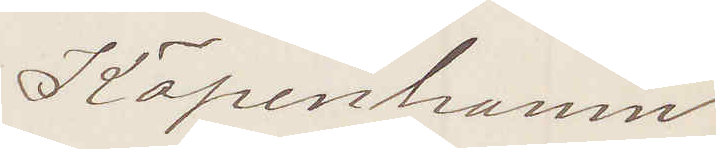Köpenhamn
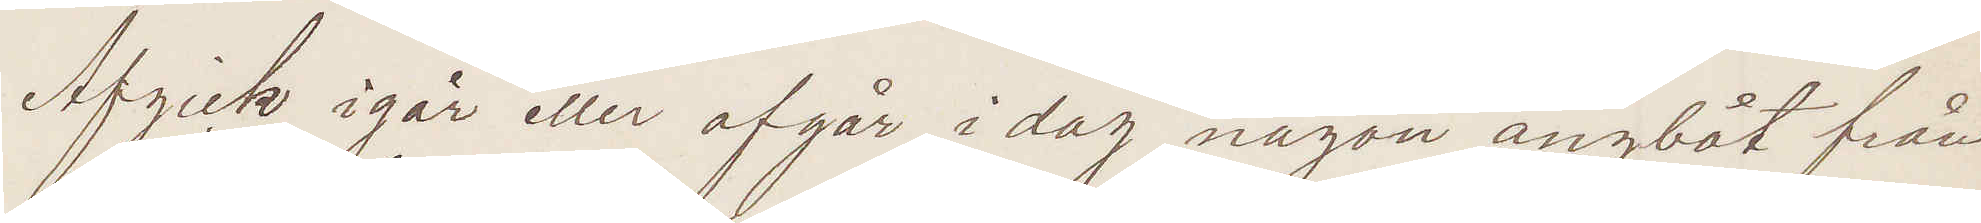Afgick igår eller afgår idag någon ångbåt från
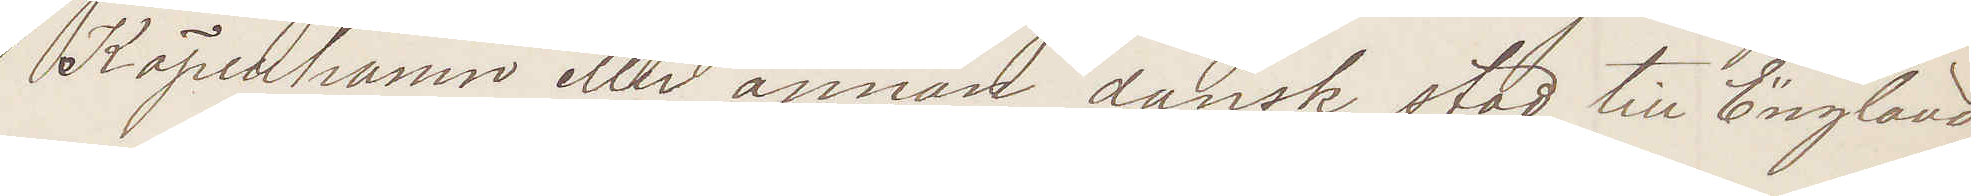Köpenhamn eller annan dansk stad till England
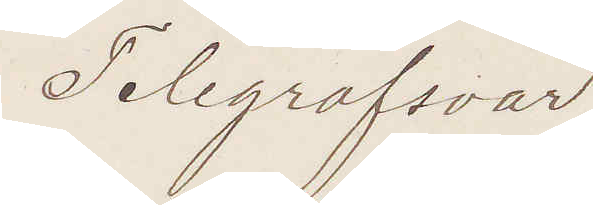Telegrafsvar!
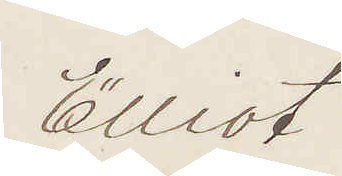Elliot
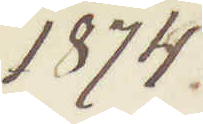1874
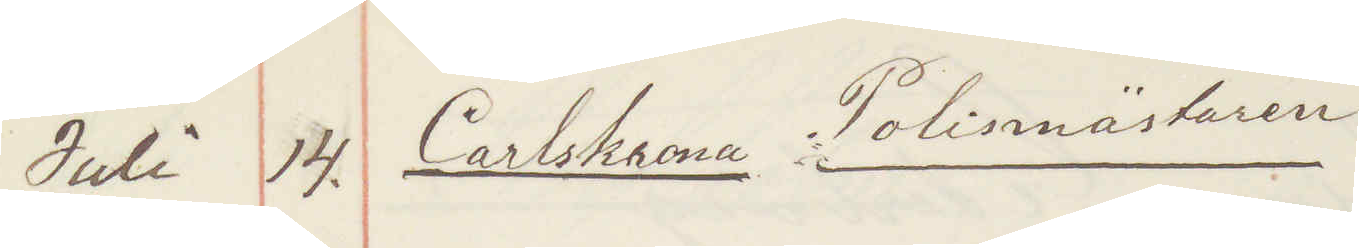Juli 14. Carlskrona Polismästaren   
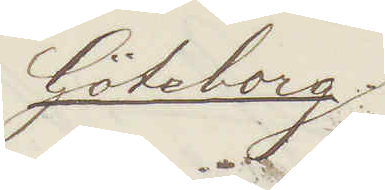Göteborg
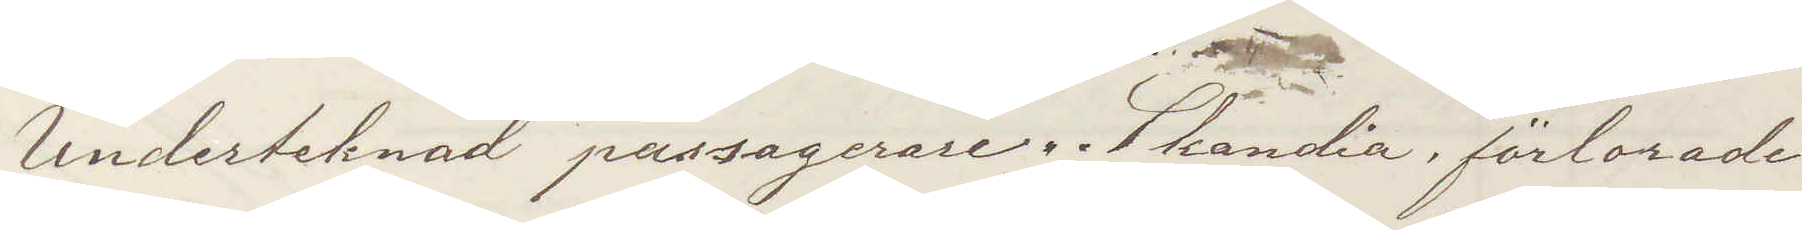Undertecknad passagerare Skandia förlorade
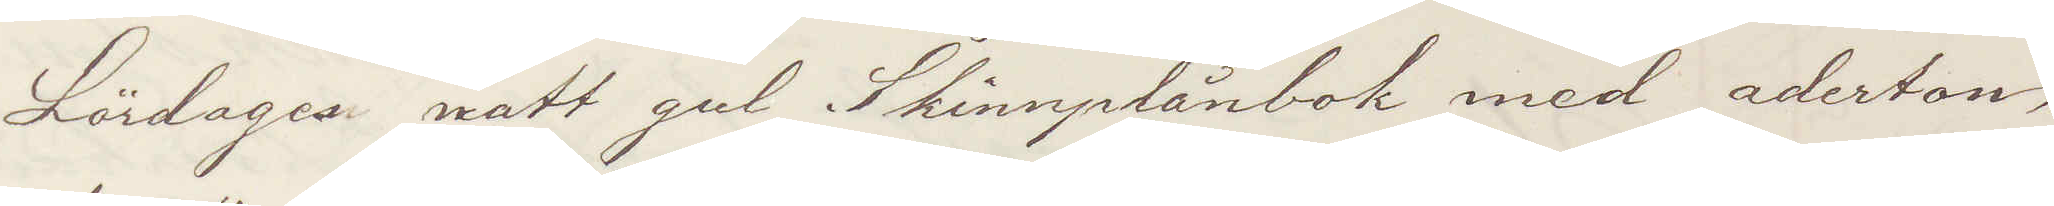Lördages natt gul Skinnplånbok med aderton
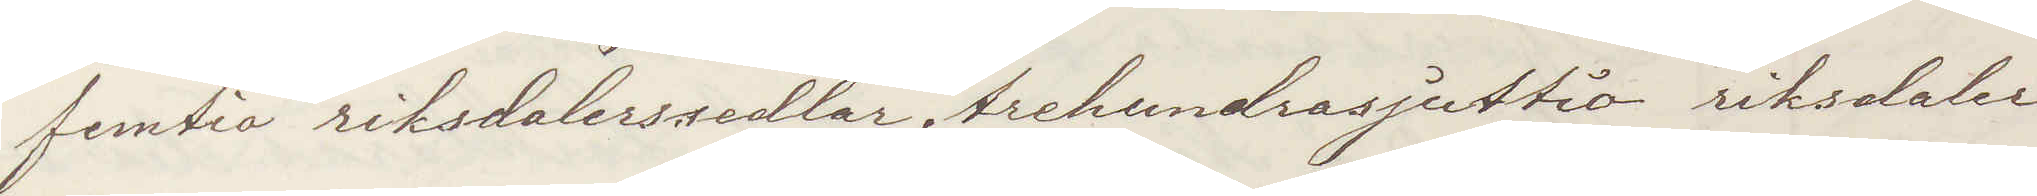femtio riksdalerssedlar, trehundrasjuttio riksdaler
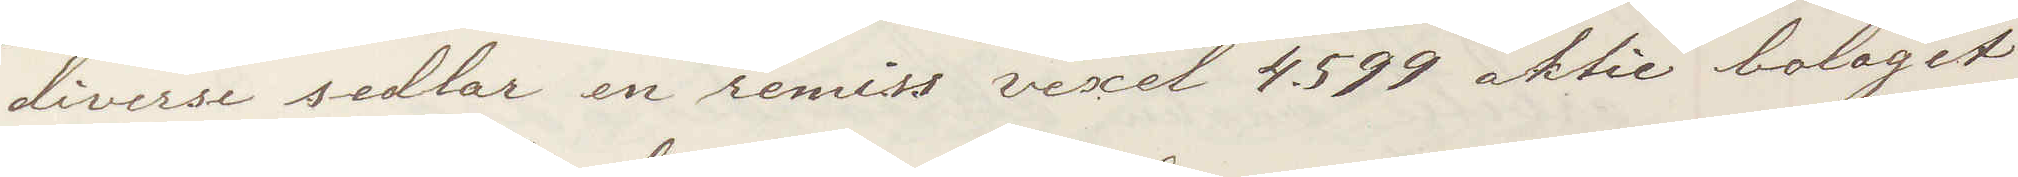diverse sedlar en remiss vexel 4.599 aktie bolaget
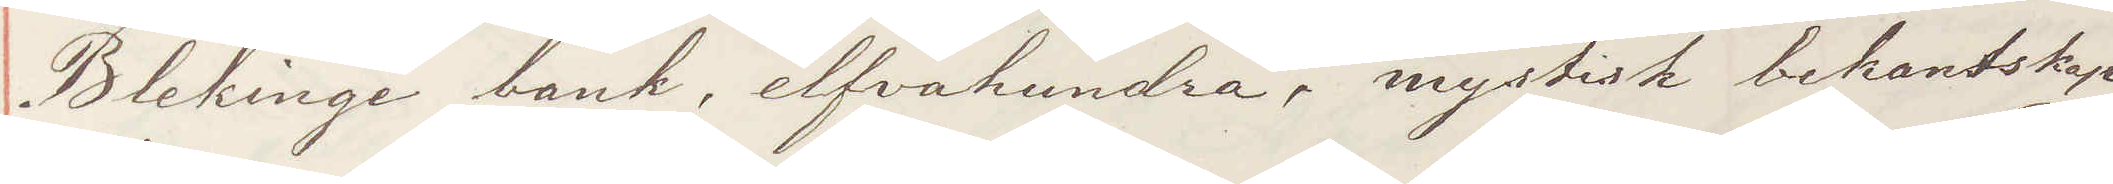Blekinge bank, elfvahundra, mystisk bekantskap
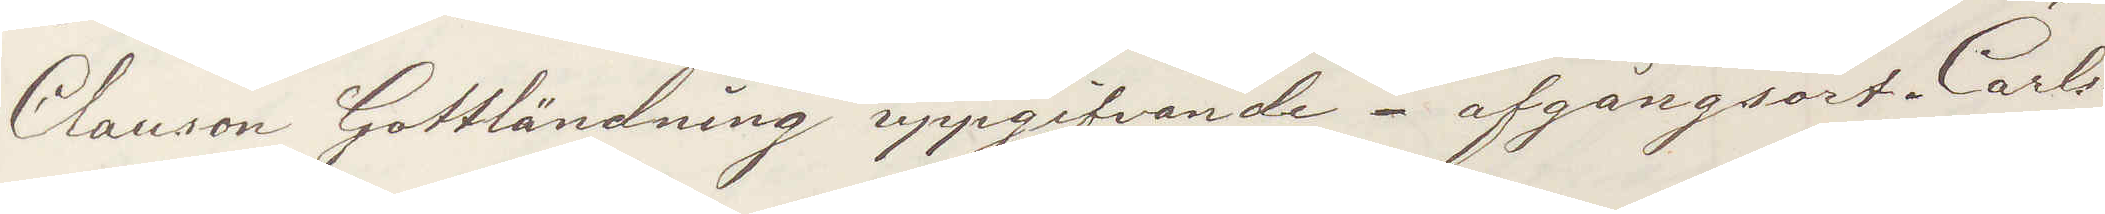Clauson Gottländning uppgifvande. afgångsort Carls¬
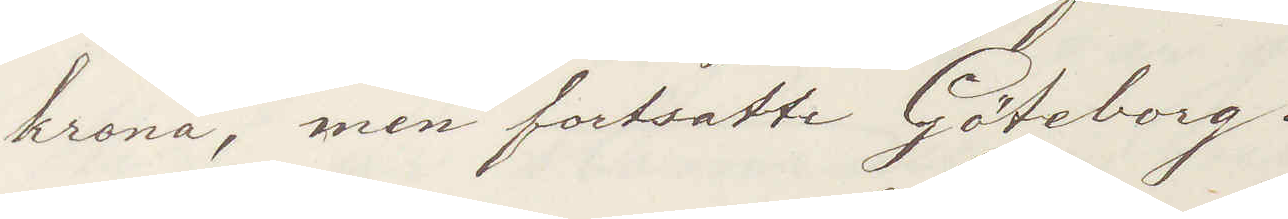krona, men fortsatte Göteborg.
